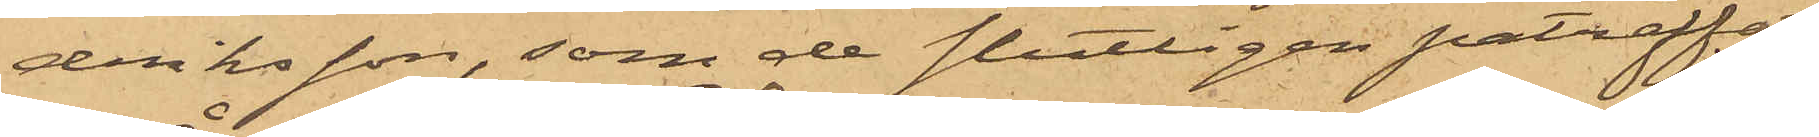driksson, som de slutligen påträffat
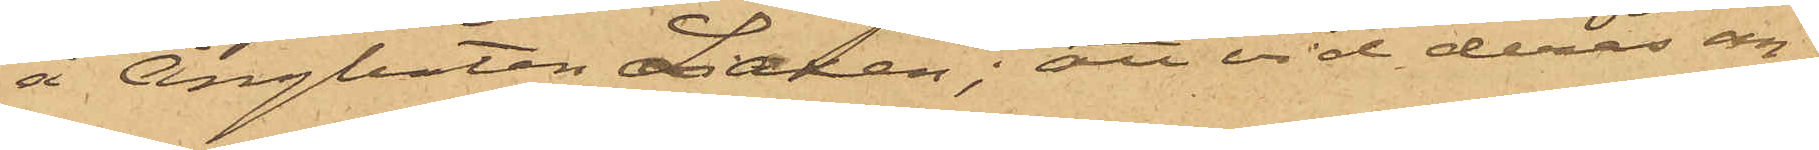å Ångbåten Laxen; att vid deras an¬
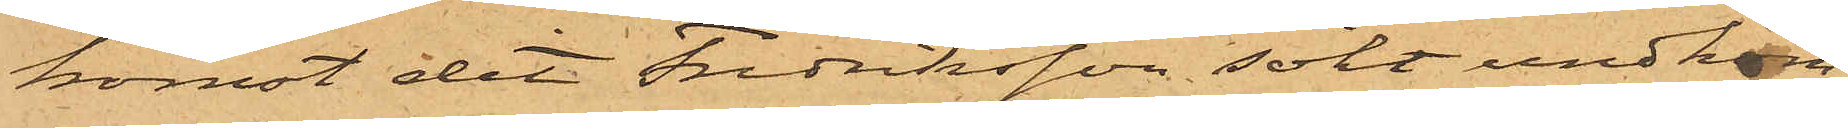komst dit Fredriksson sökt undkom¬
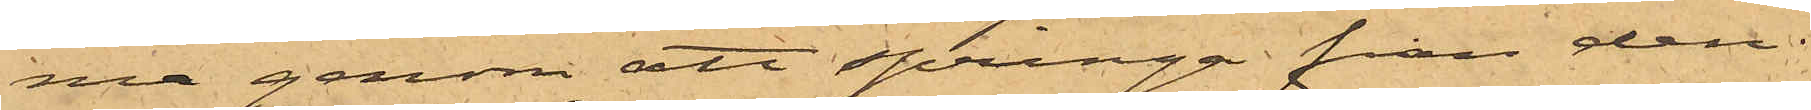ma genom att springa från den
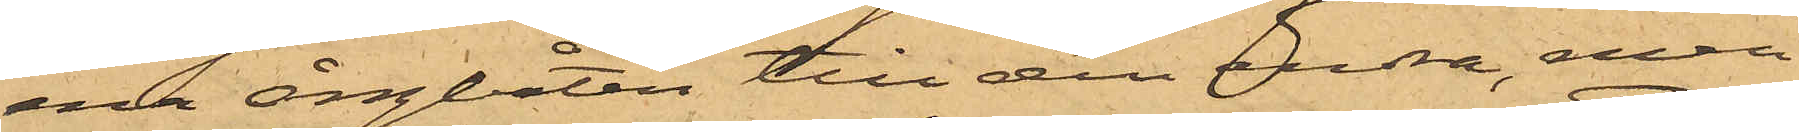ena ångbåten till den andra, men
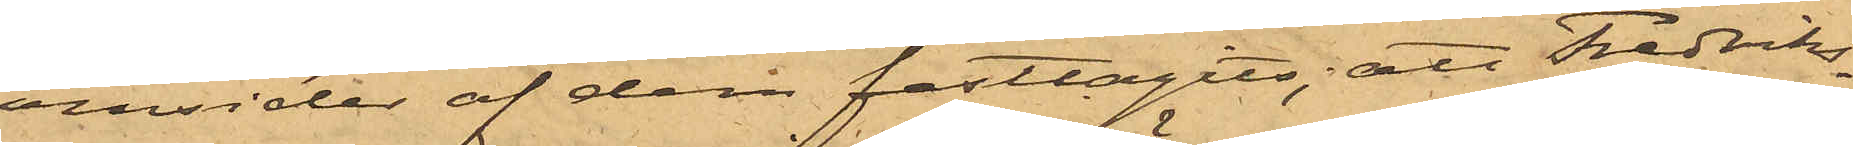omsides af dem fasttagits; att Fredriks¬
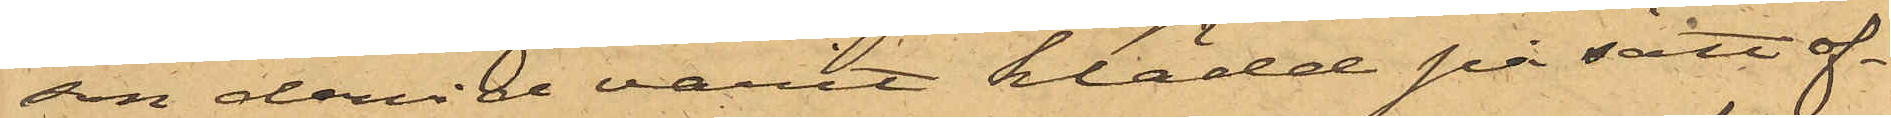son dervid varit klädd på sätt of¬
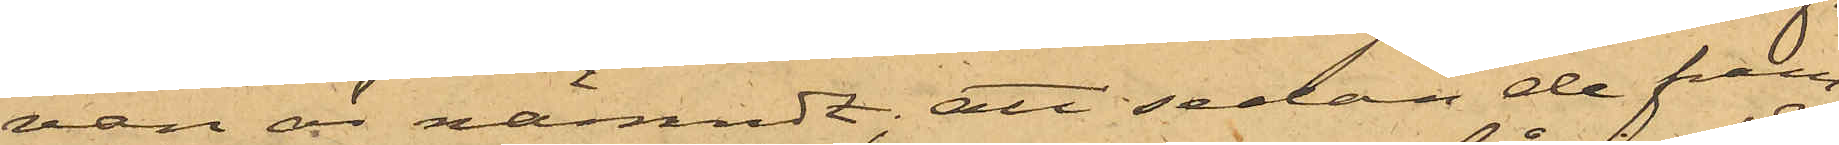van är nämndt; att sedan de fram¬
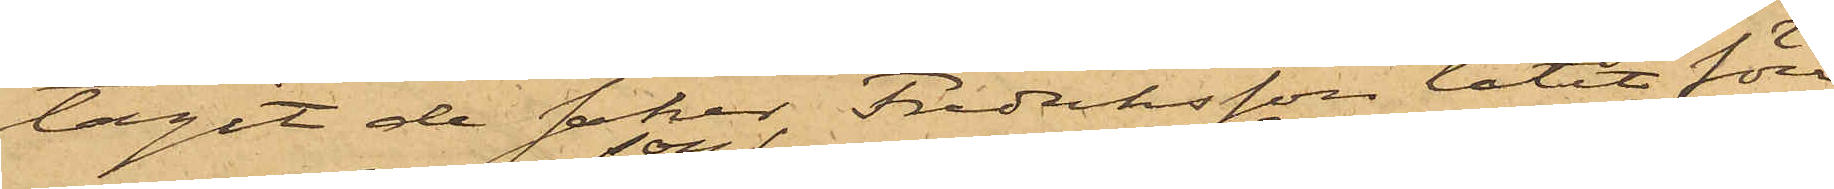tagit de saker Fredriksson låtit föra
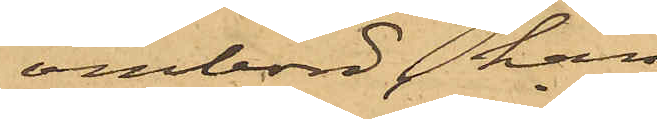ombord, han
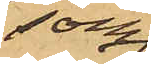som
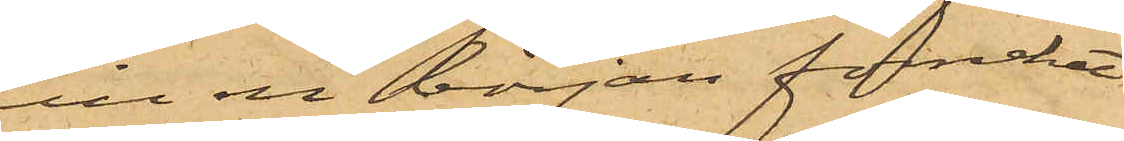till en början förnekat
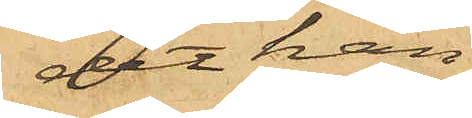det han
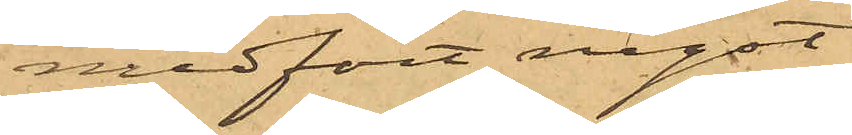medfört något
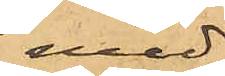med¬
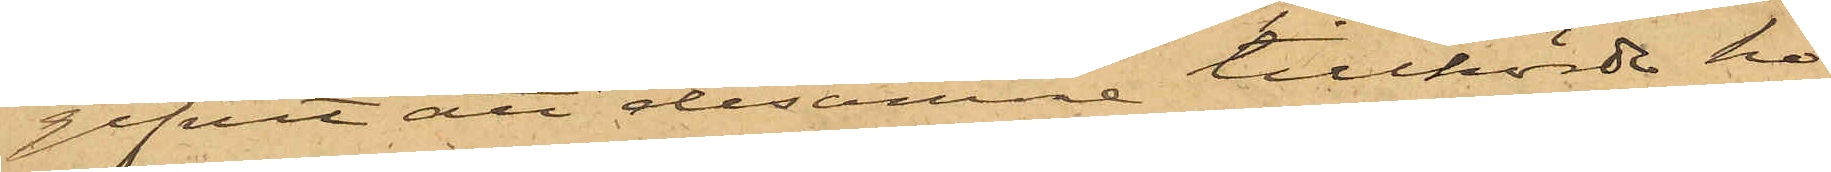gifvit att desamme tillhörde ho¬
